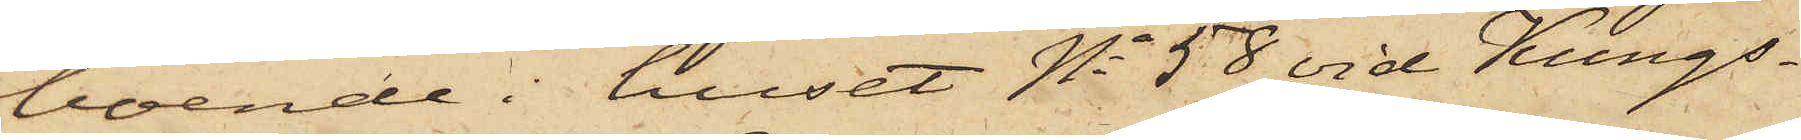boende i huset No 58 vid Kungs¬
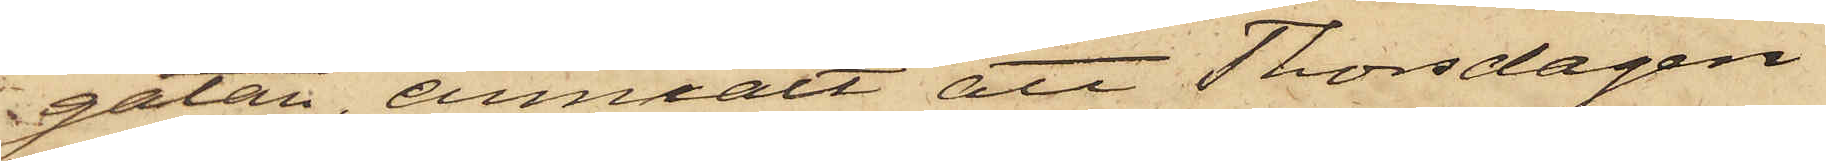gatan, anmält att Thorsdagen
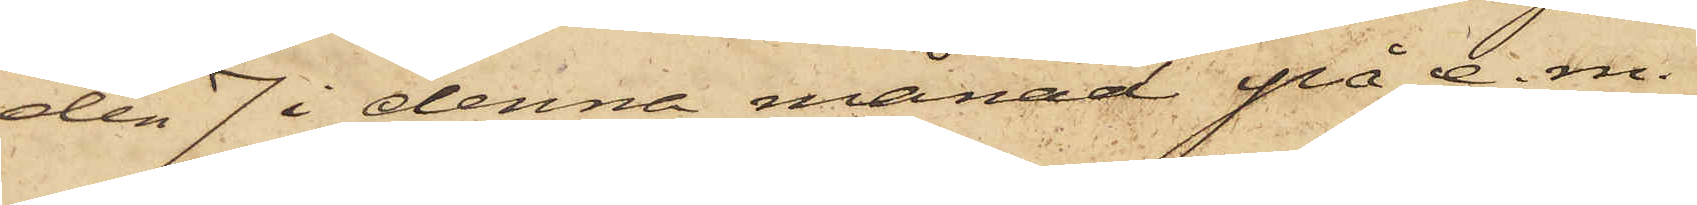den 7 i denna månad på e.m.
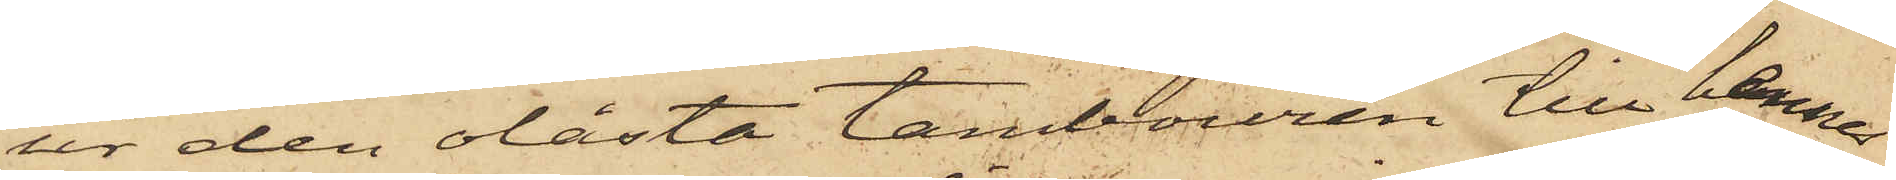ur den olåsta tambouren till hennes
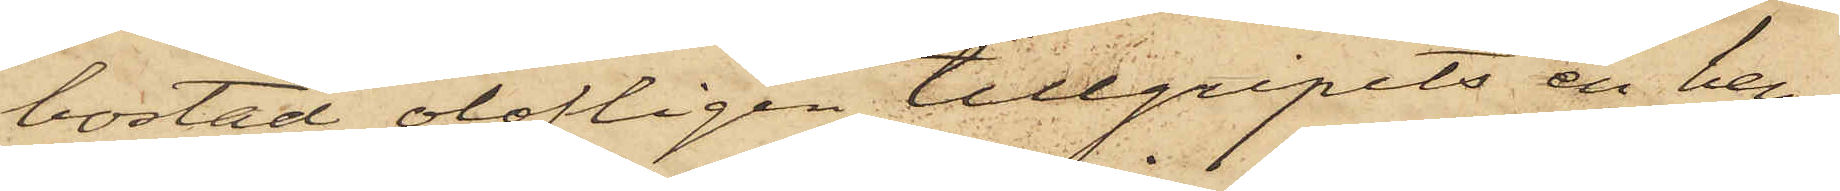bostad olofligen tillgripits en hen¬
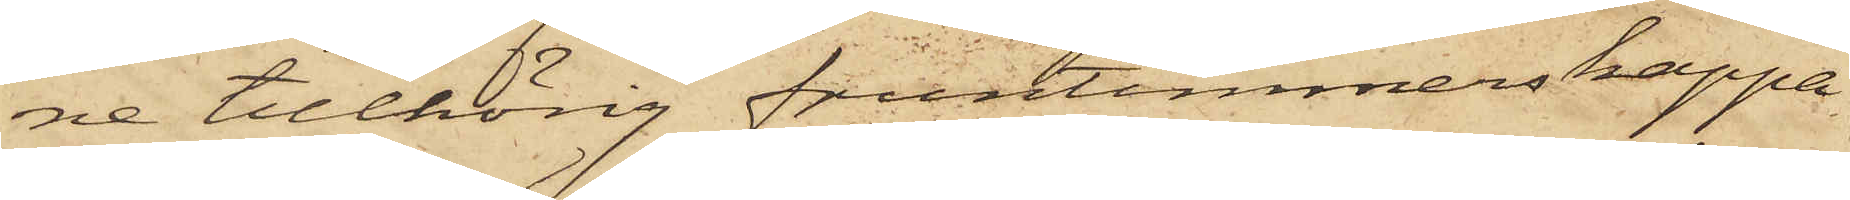ne tillhörig fruntimmerskappa
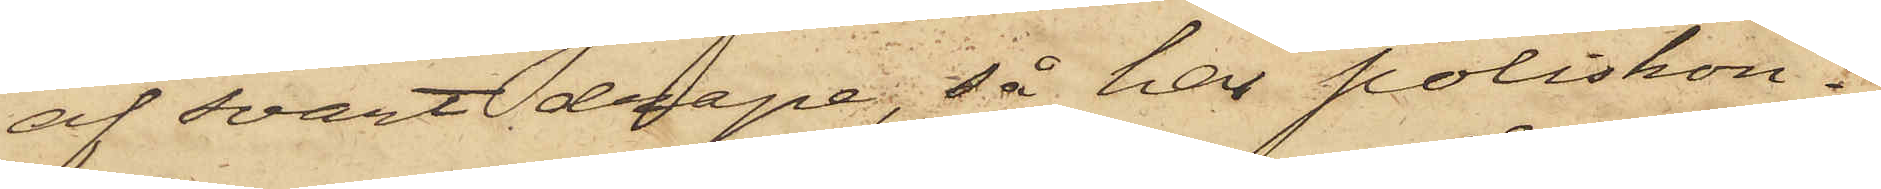af svart drape, så har poliskon¬
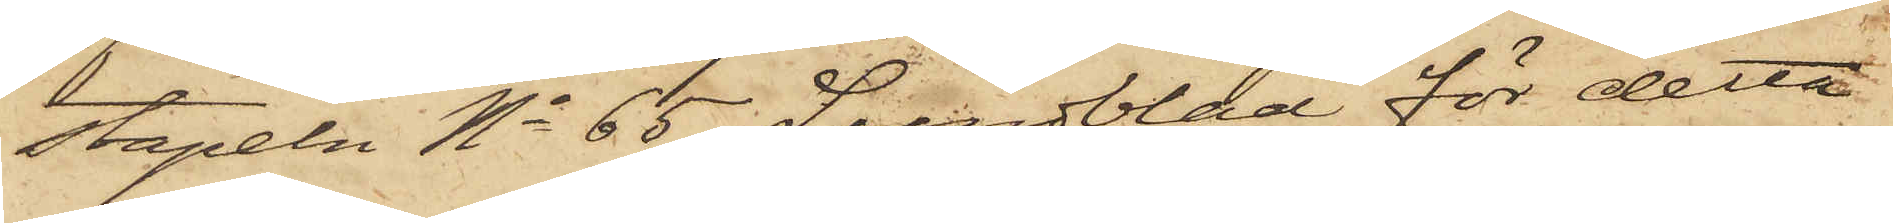stapeln No 65 Lundblad för detta
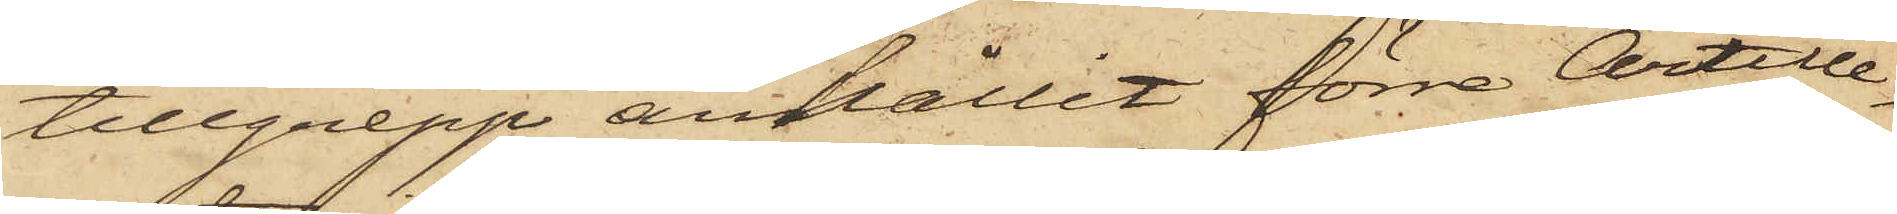tillgrepp anhållit förre Artille¬
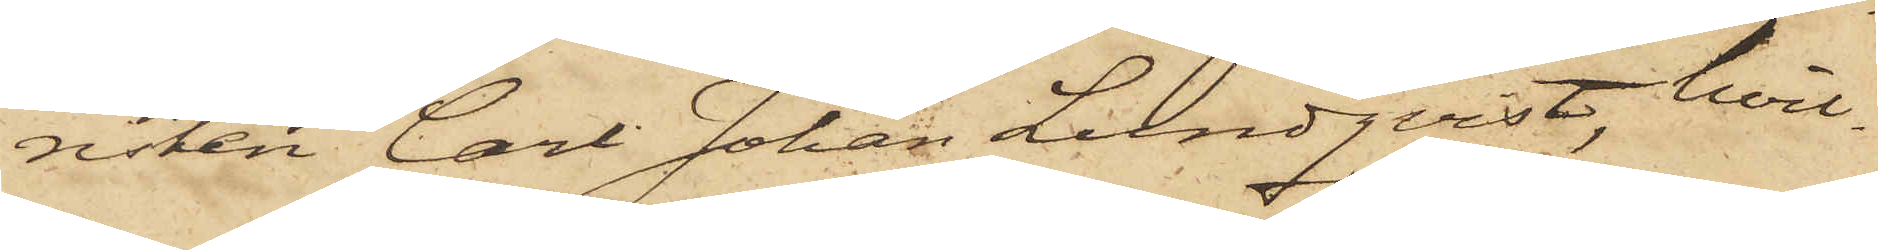risten Carl Johan Lundqvist, hvil¬
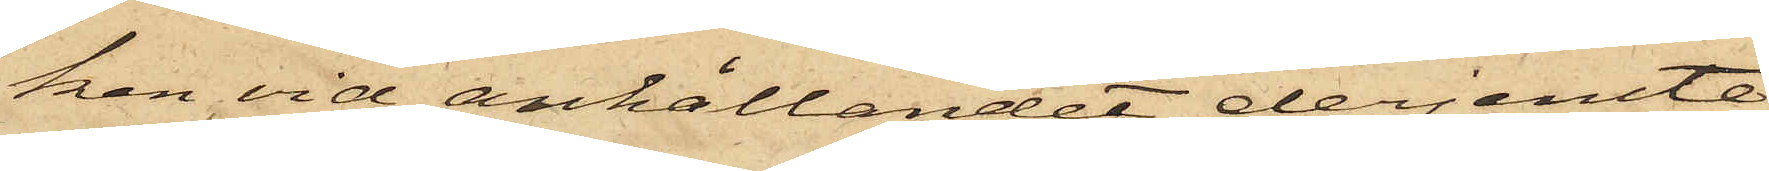ken vid anhållandet derjemte
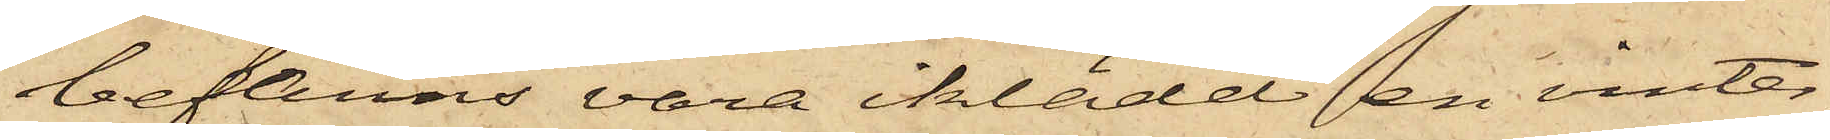befanns vara iklädd en vinter¬
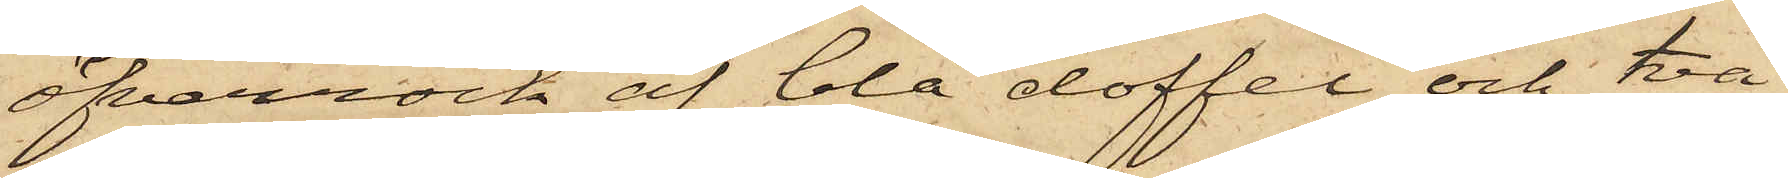öfverrock af blå doffel och två
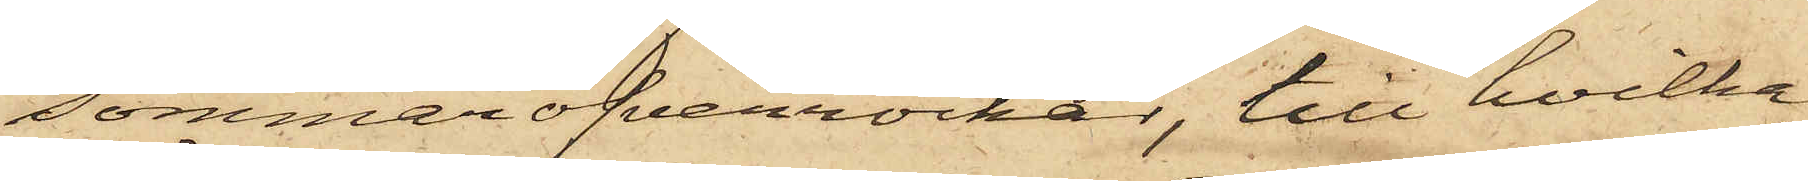sommaröfverrockar, till hvilka
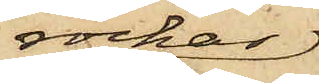rockar
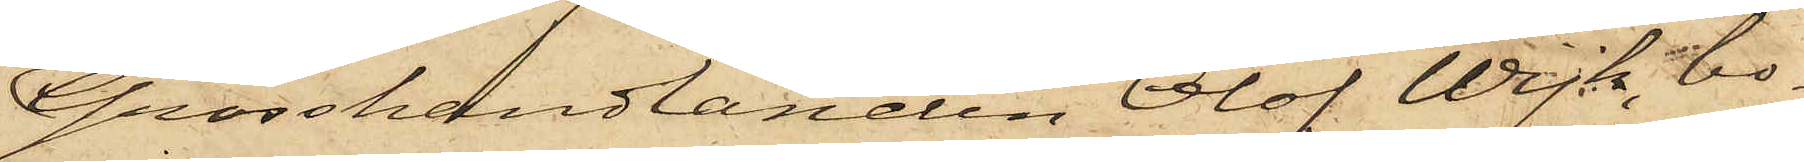Grosshandlanden Olof Wijk, bo¬
